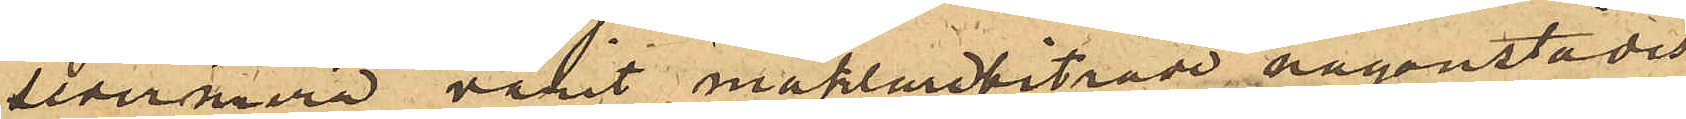sedermera varit mäklarebiträde någonstädes
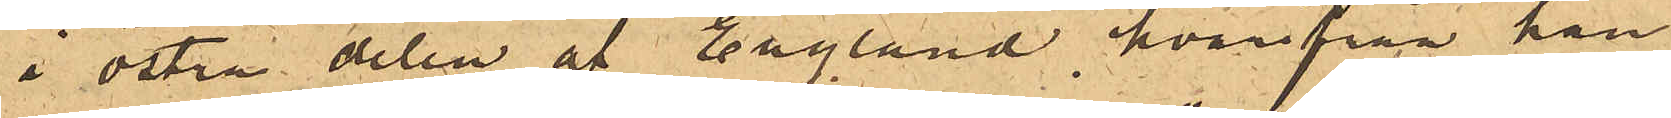i östra delen af England, hvarifrån han
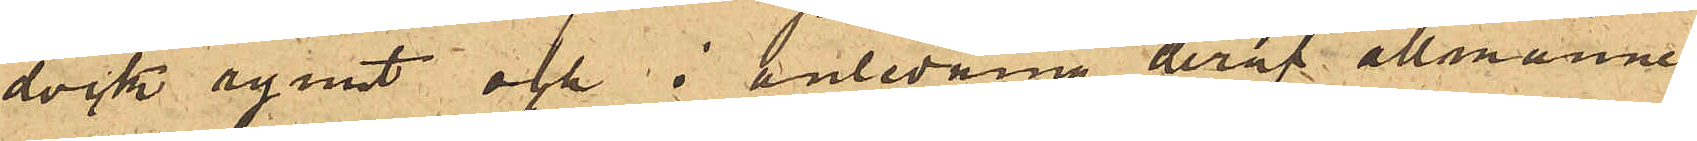dock rymt och i anledning deraf allmänne¬
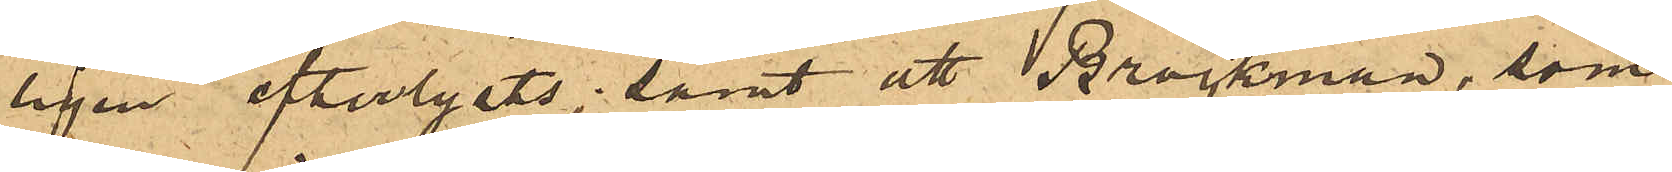ligen efterlysts; samt att Brockman, som
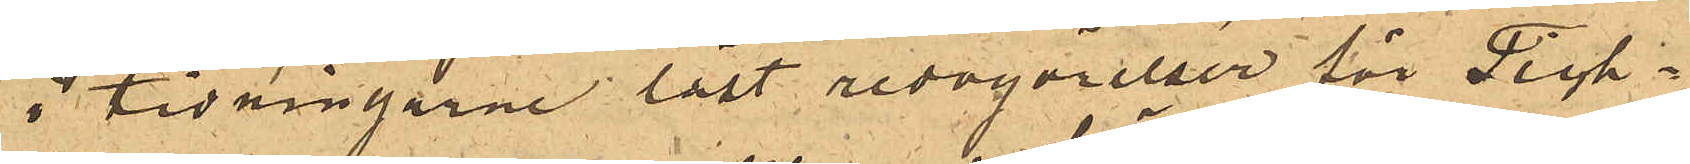i tidningarne läst redogörelser för Tich¬
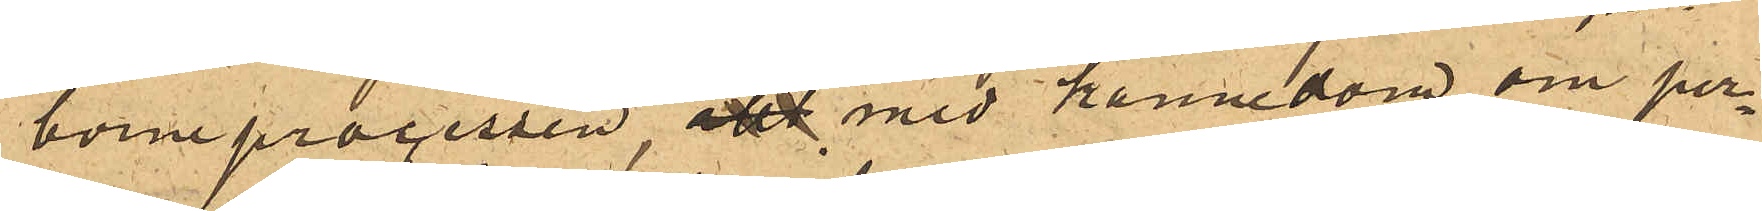borneprocessen, allt med kännedom om per¬
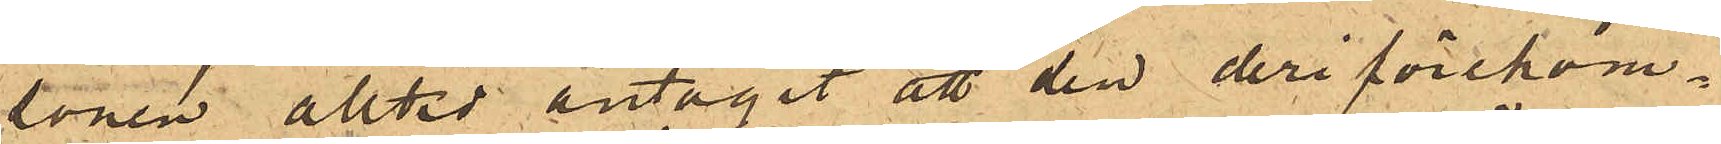sonen alltd antagit att den deri förekom¬
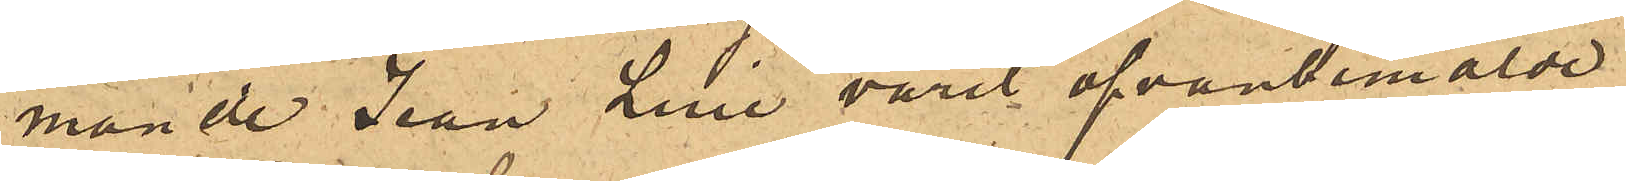mande Jean Luie varit ofvanbemälde
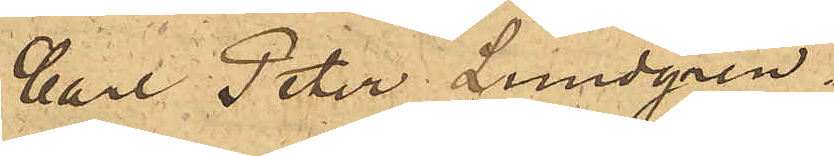Carl Peter Lundgren.
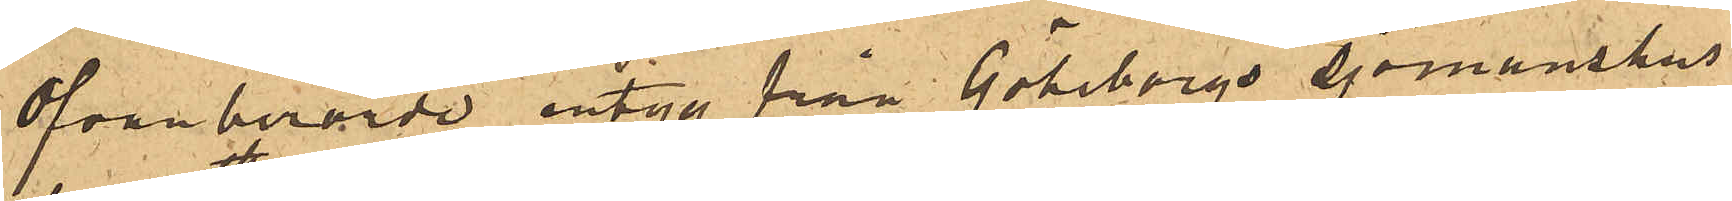Ovanberörde intyg från Göteborgs sjömanshus
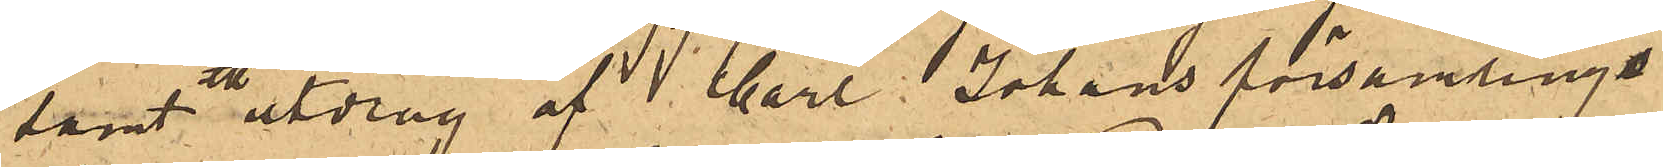samt utdrag af  Carl Johans församlings
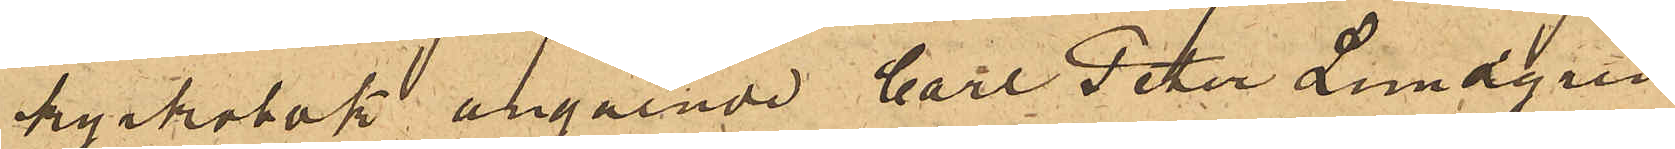kyrkobok angående Carl Peter Lundgren
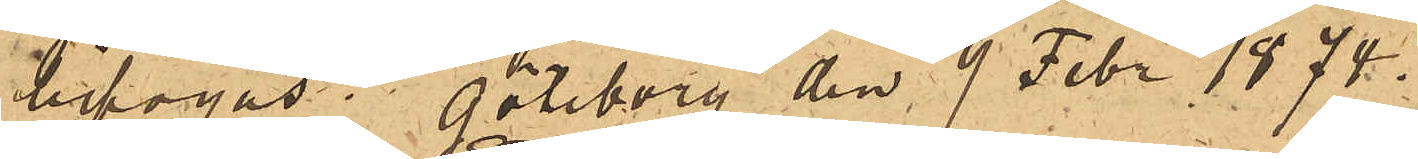bifogas. Göteborg den 9 Febr 1874.
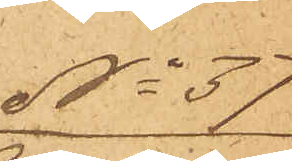No 37
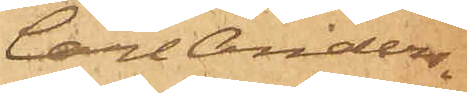Carl Anders¬
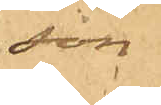son
